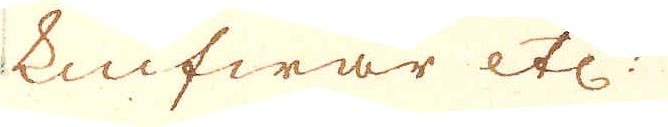knifwar etc.
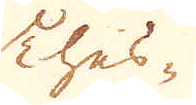Thes-
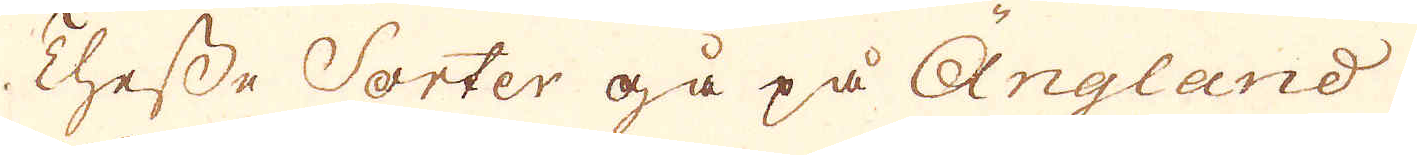Thesse Sorter gå på Ängland
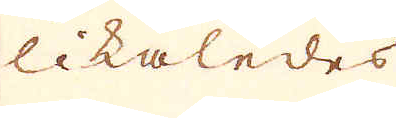likaledes
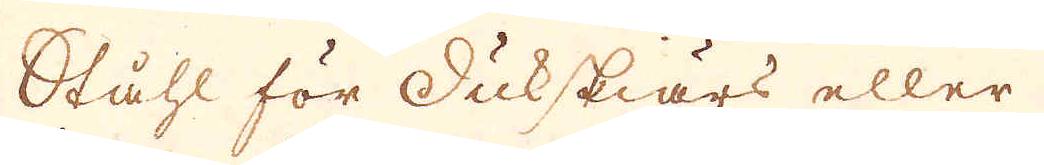Ståhl för dukskiärs eller
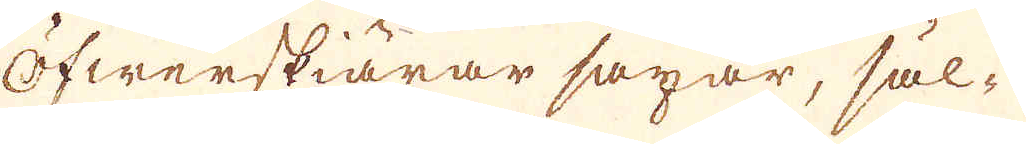Öfwerskiärar saxar, säl-
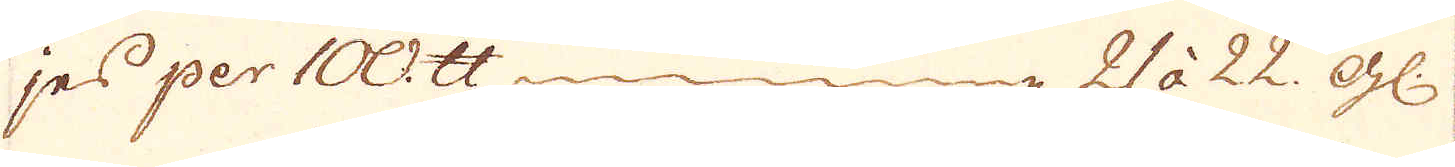jes per 100 skålpund 21 à 22. gl:
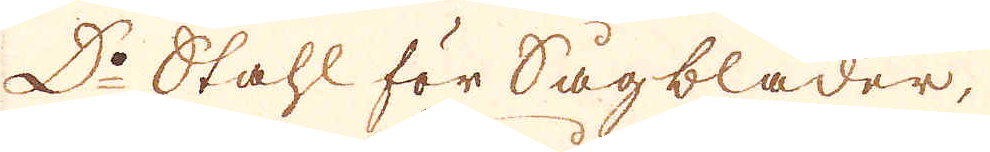D:o Stahl för Sågblader,
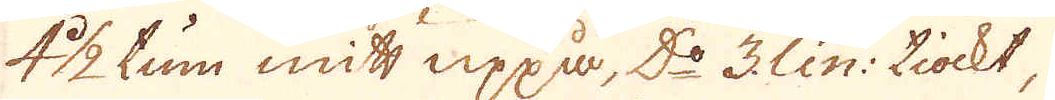4 1/2 tum mitt uppå, D:o 3 lin: tiockt,
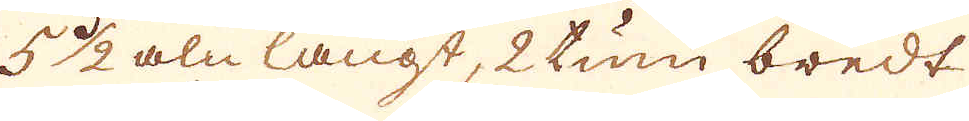5 1/2 aln långt, 2 tum bredt
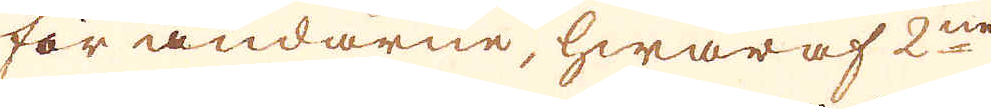för ändarne, hwaraf 2ne
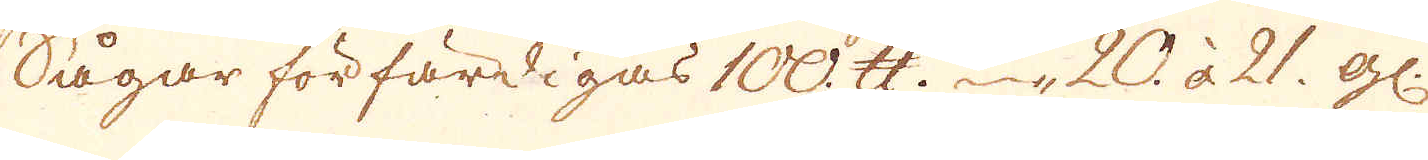Sågar förfärdigas 100. skålpund 20 à 21 gl:
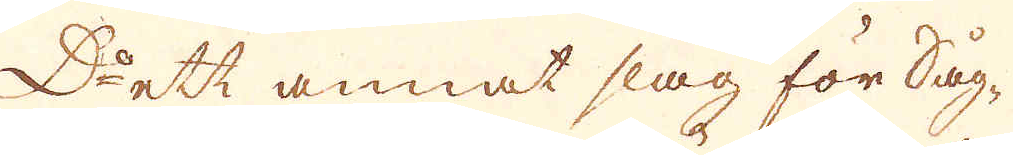D:o ett annat slag för Såg-
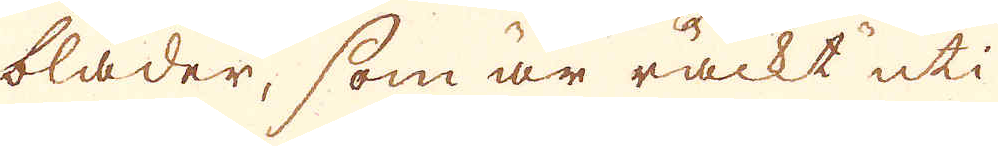blader, som är märckt uti
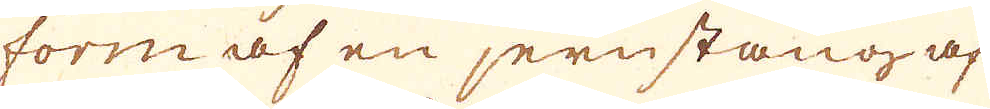form af en jernstång af
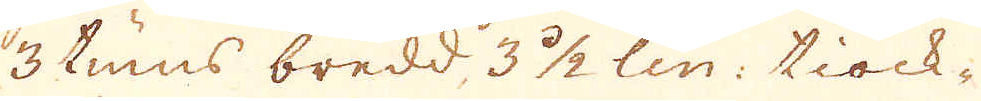3 tums bredd, 3 1/2 lin: tiock-
